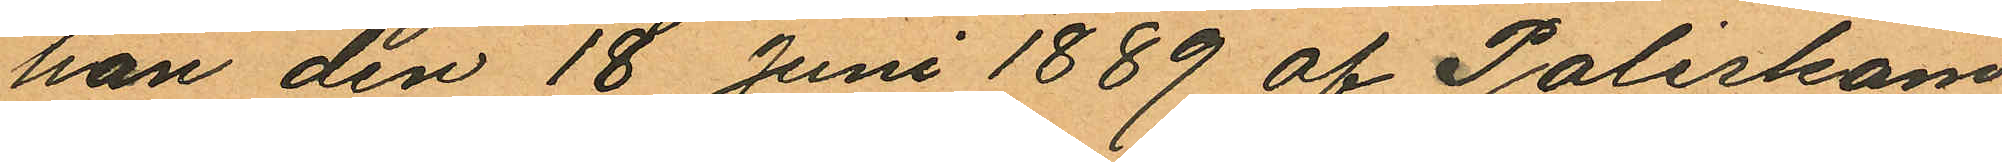han den 18 Juni 1889 af Poliskam¬
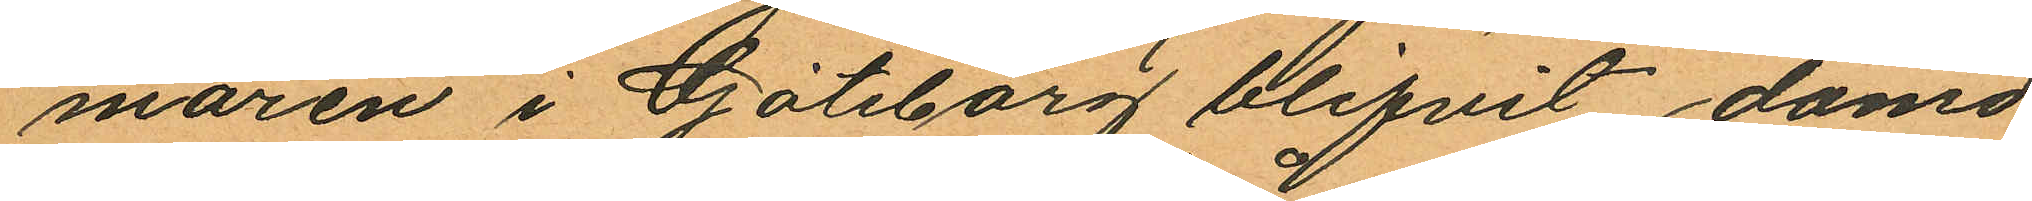maren i Göteborg blifvit dömd
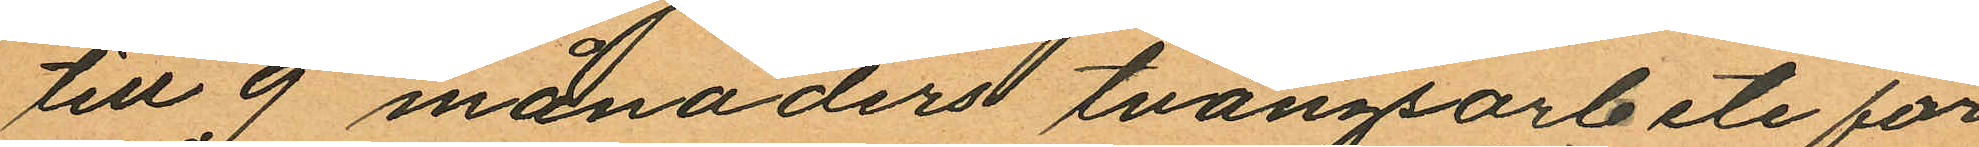till 9 månaders tvångsarbete för
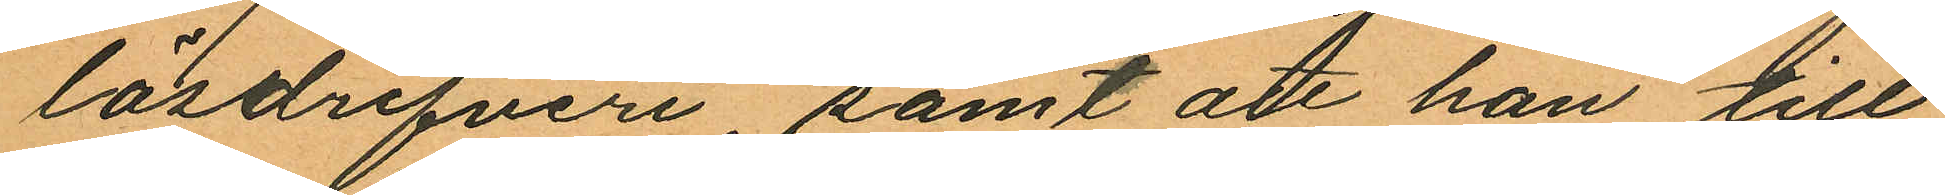lösdrifveri, samt att han till¬
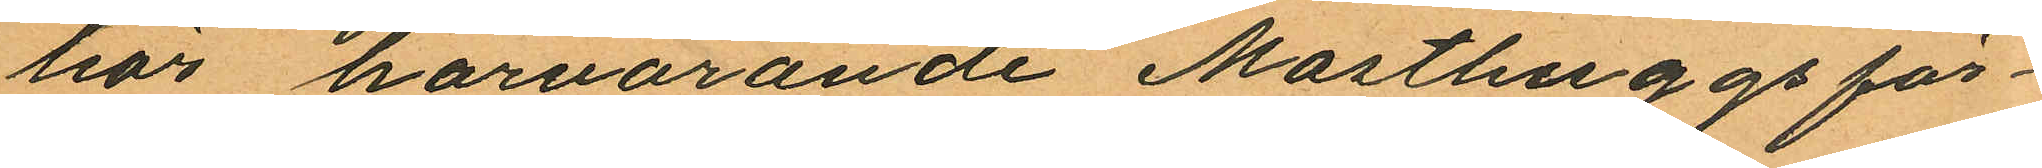tios härvarande Masthuggsför¬
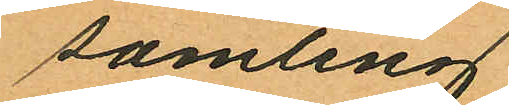samling.
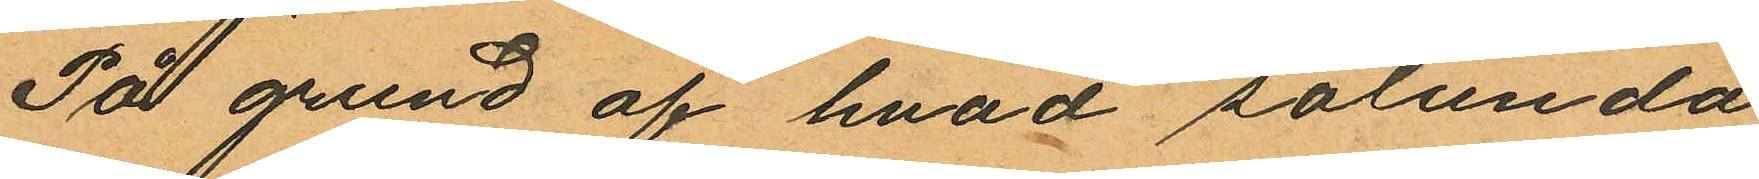På grund af hvad sålunda
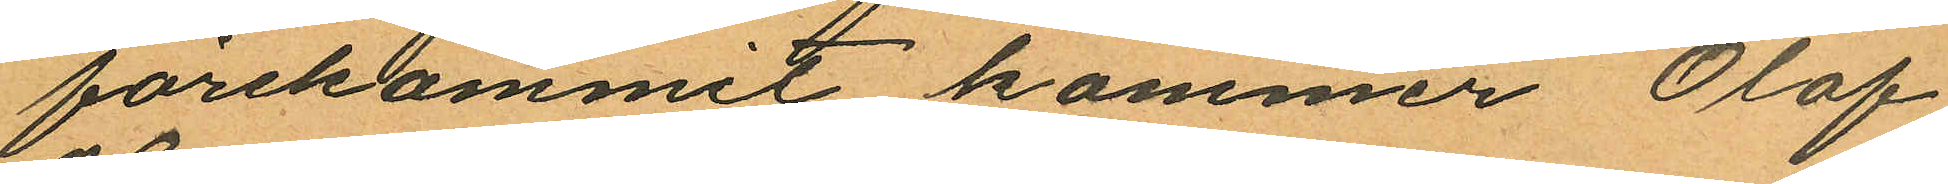förekommit kommer Olof
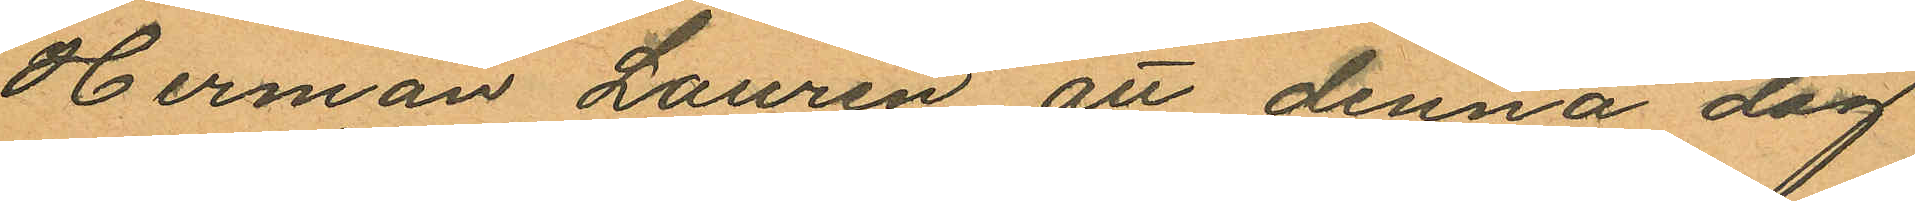Herman Laurén att denna dag
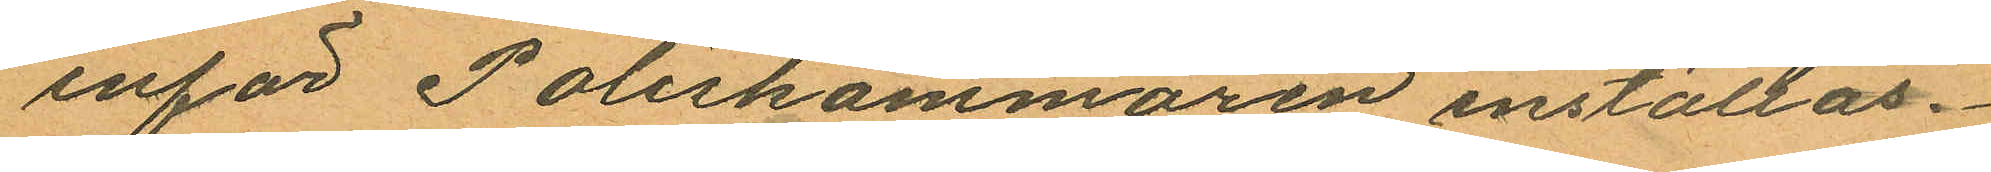inför Poliskammaren inställas.
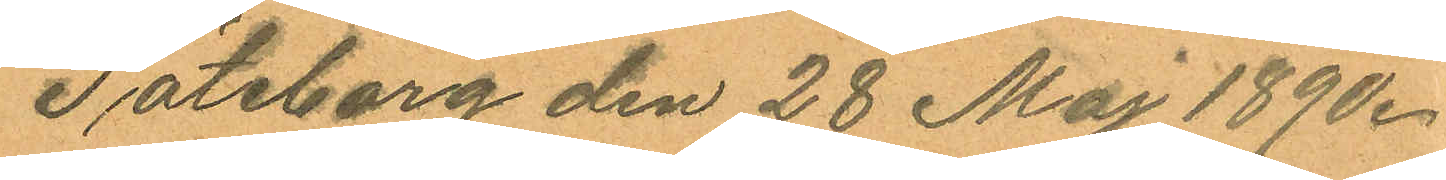Göteborg den 28 Maj 1890.
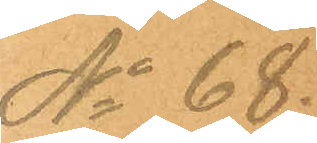No 68.
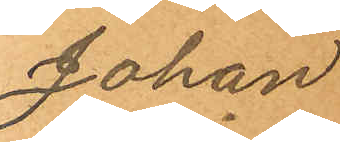Johan
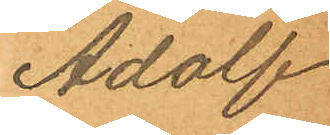Adolf
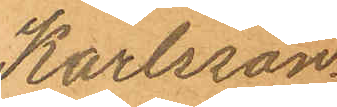Karlsson
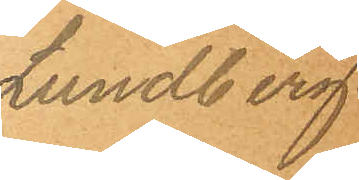Lundberg.
